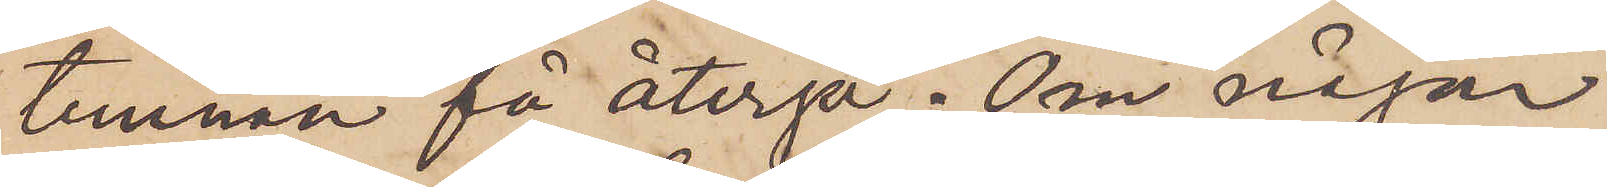tunnan få återgå. Om någon
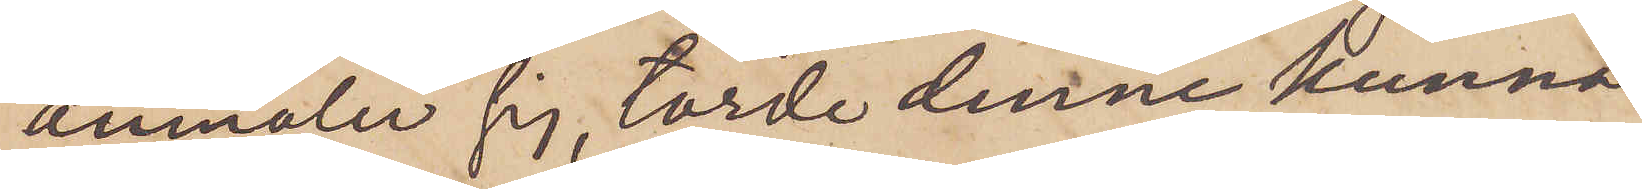anmäler sig, torde denne kunna
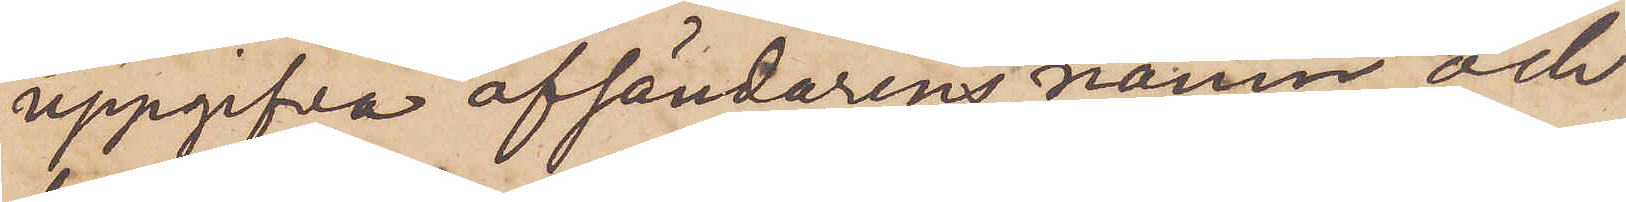uppgifva afsändarens namn och
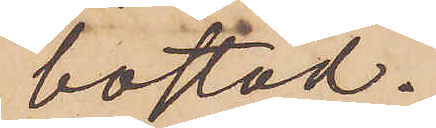bostad.
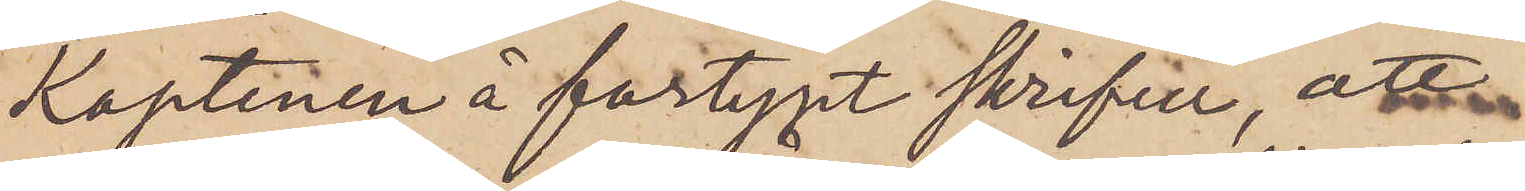Kaptenen å fartyget skrifver, att
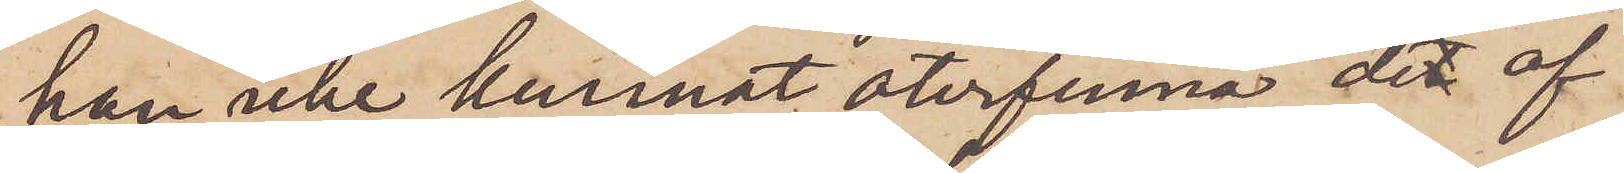han icke kunnat återfinna det af
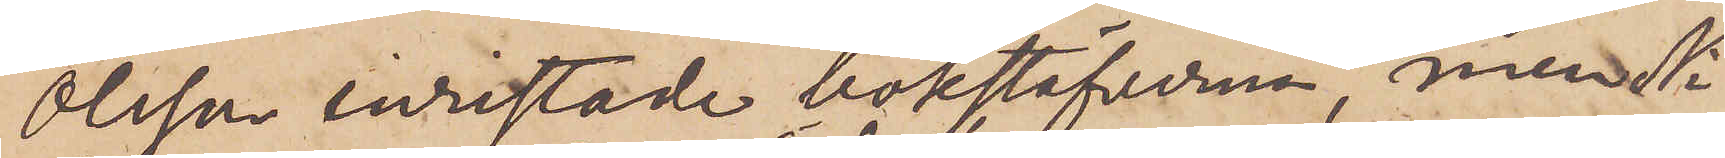Olsson inristade bokstäfverna, men Ni
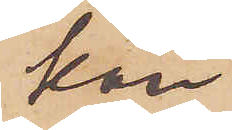kan
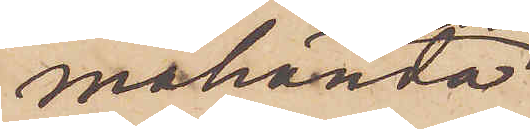måhända
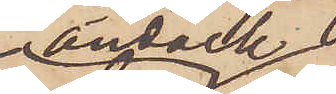ändock
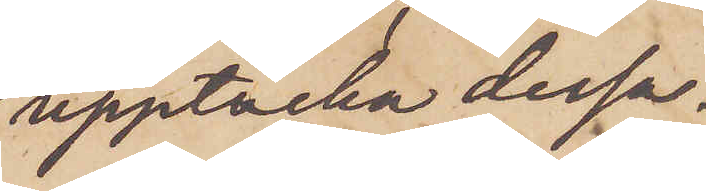upptäcka dessa.
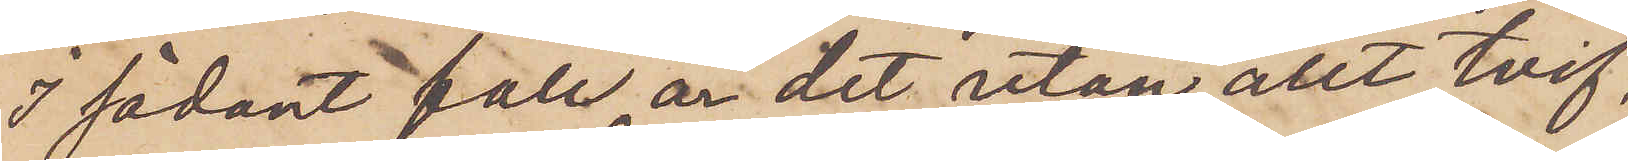I sådant fall är det utan allt tvif¬
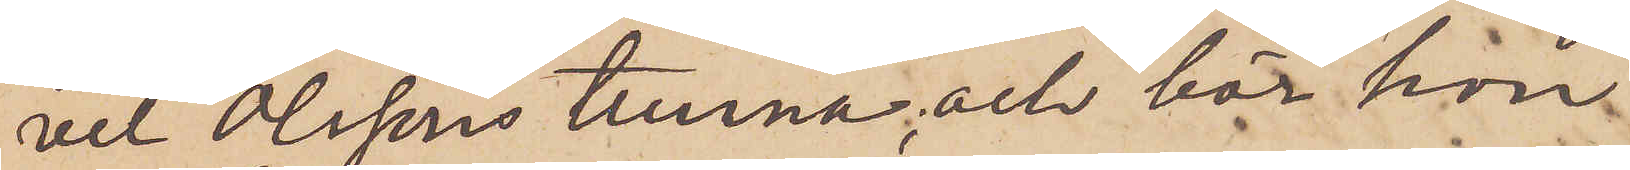vel Olssons tunna, och bör hon
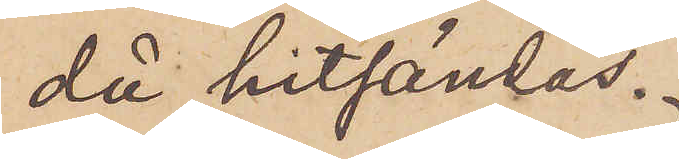då hitsändas.
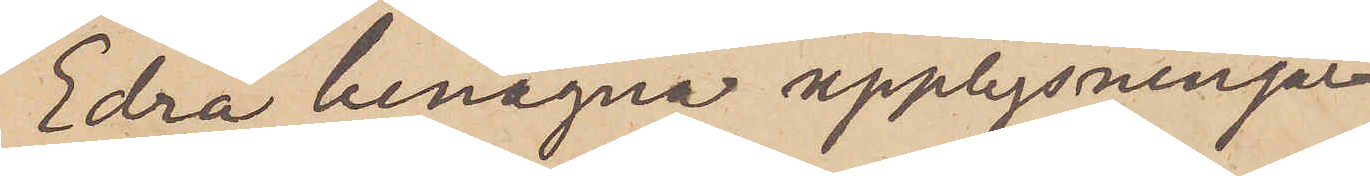Edra benägna upplysningar
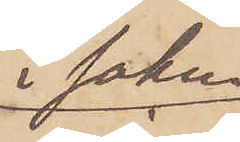i saken
